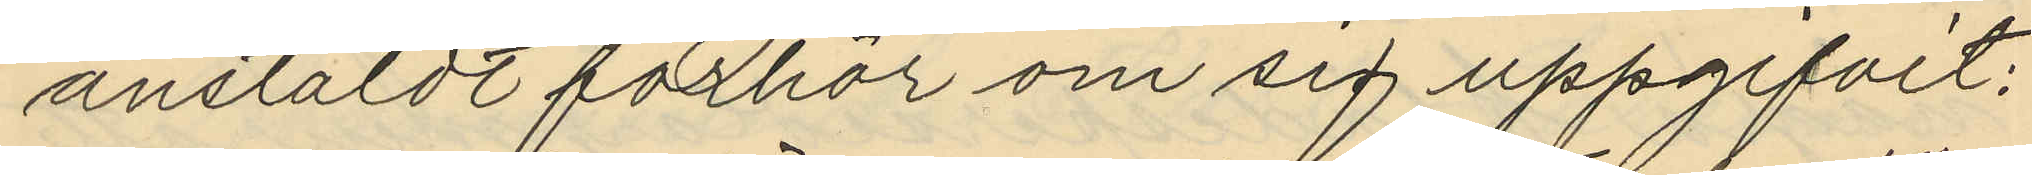anstäldt förhör om sig uppgifvit:
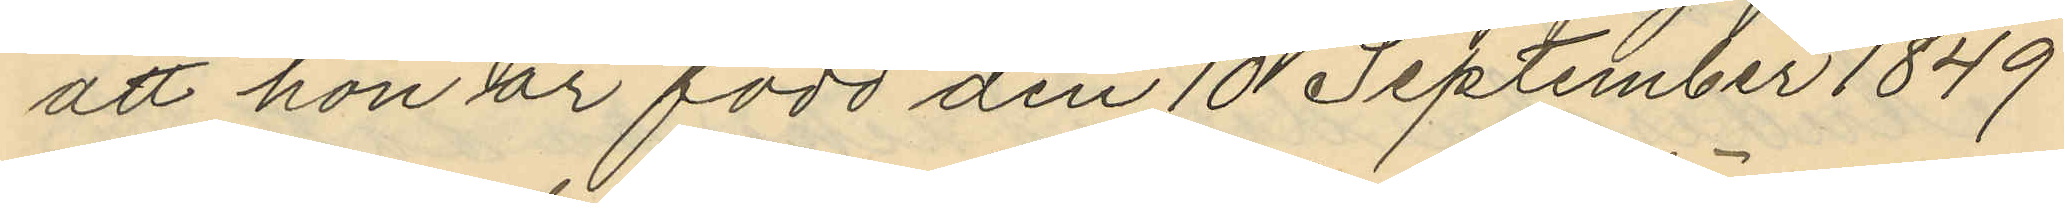att hon är född den 10 September 1849
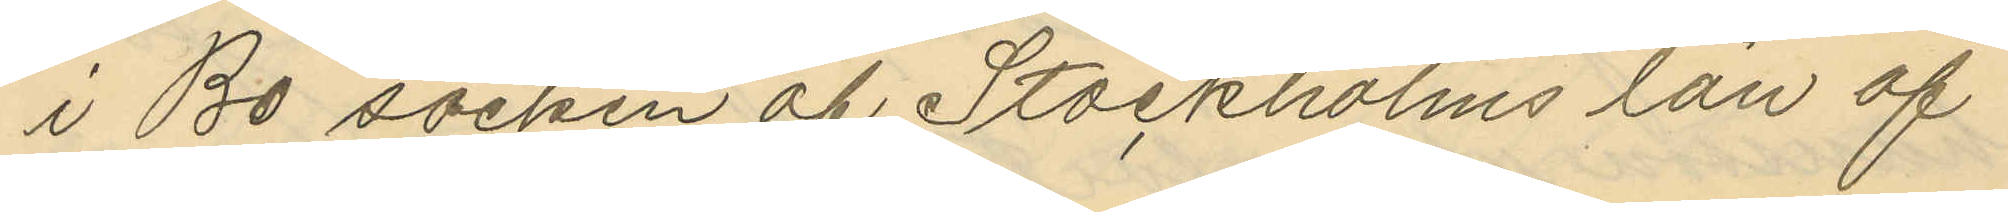i Bo socken af Stockholms län af
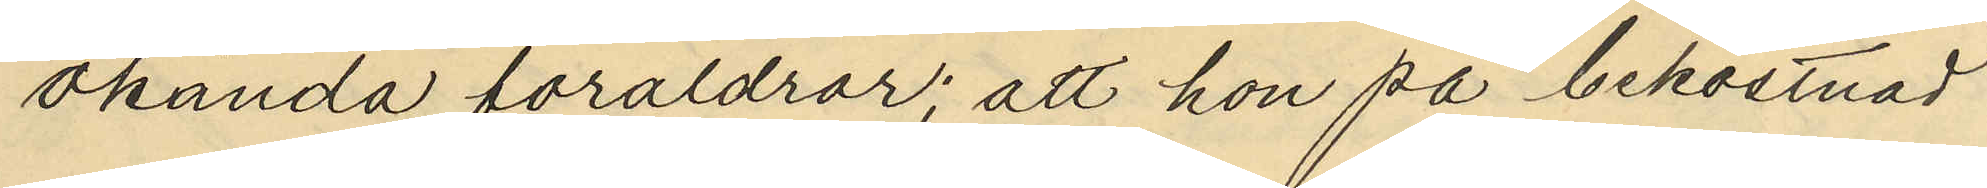okända föräldrar; att hon på bekostnad
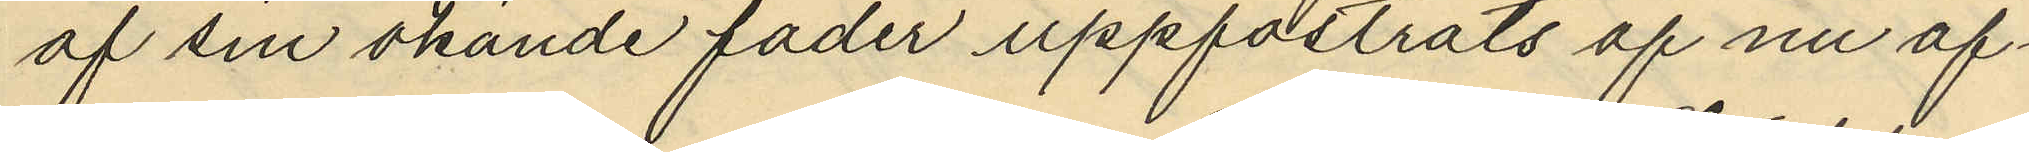af sin okände fader uppfostrats af nu af¬
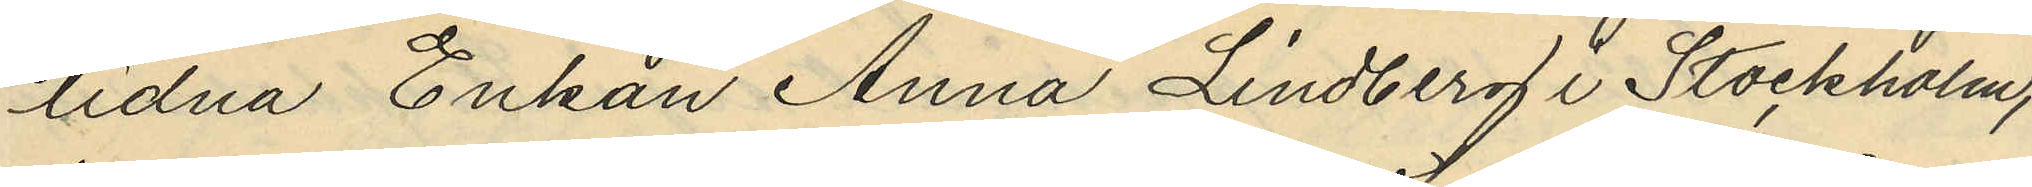lidna Enkan Anna Lindberg i Stockholm,
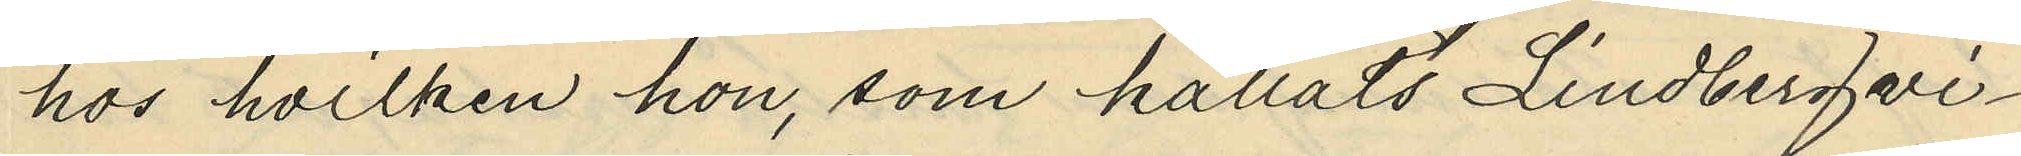hos hvilken hon, som kallats Lindberg vi¬
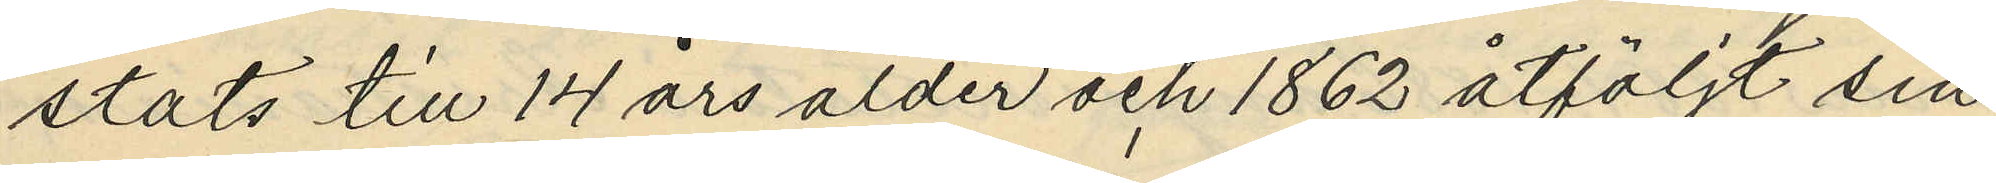stats till 14 års ålder och 1862 åtföljt sin
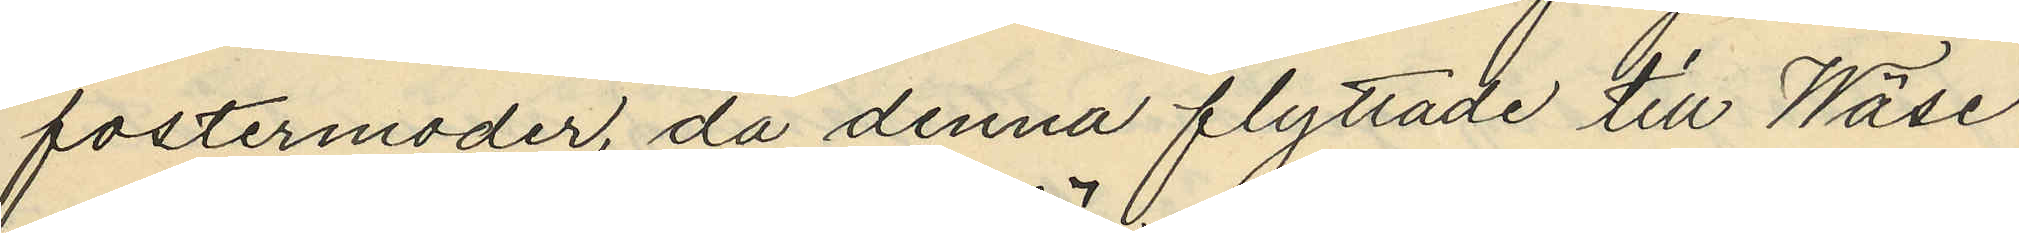fostermoder, då denna flyttade till Wäse
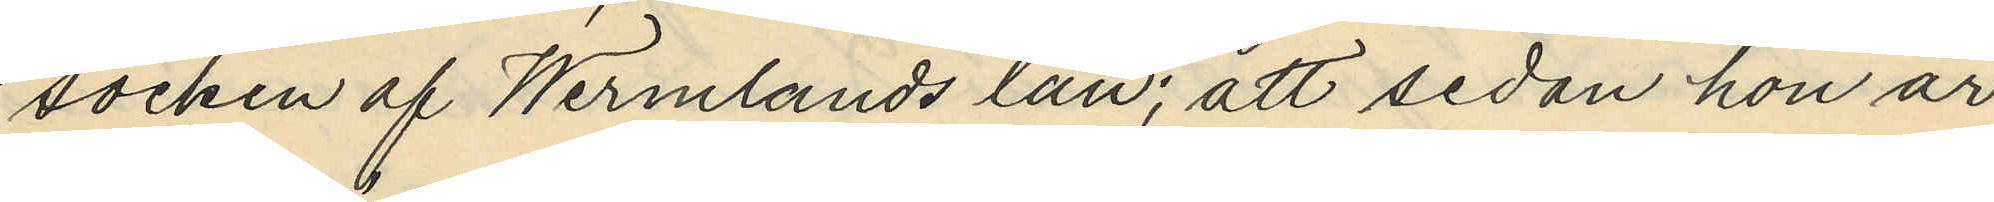socken af Wermlands län; att sedan hon är
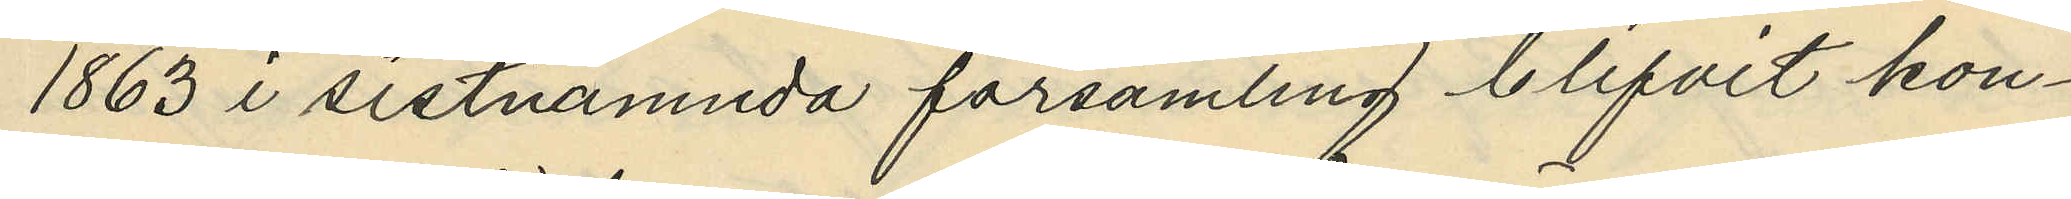1863 i sistnämnda församling blifvit kon¬
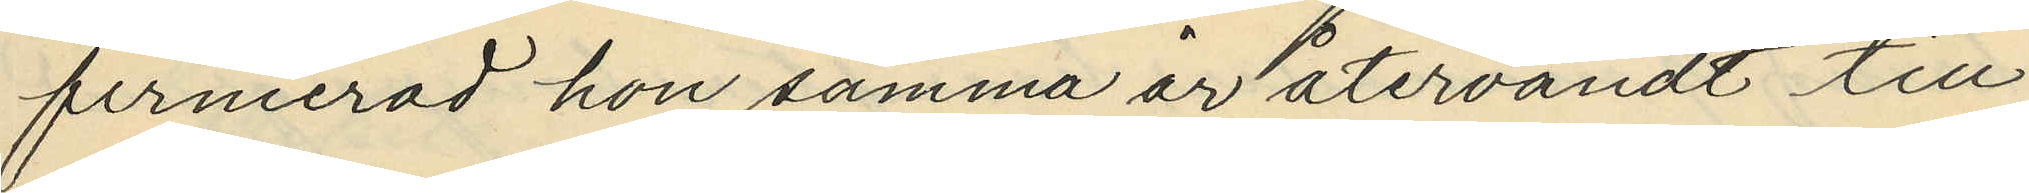firmerad hon samma år återvändt till
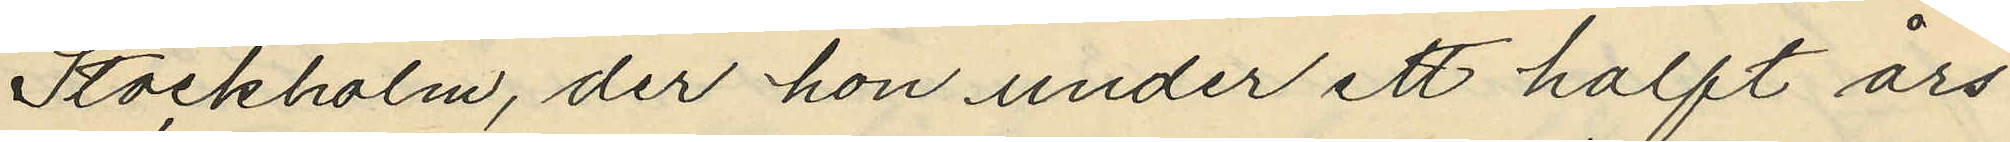Stockholm, der hon under ett halft års
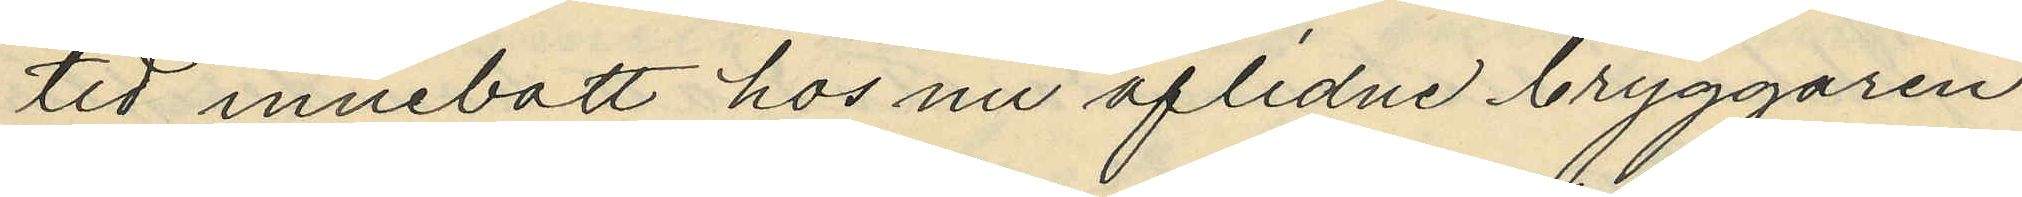tid innebott hos nu aflidne bryggaren
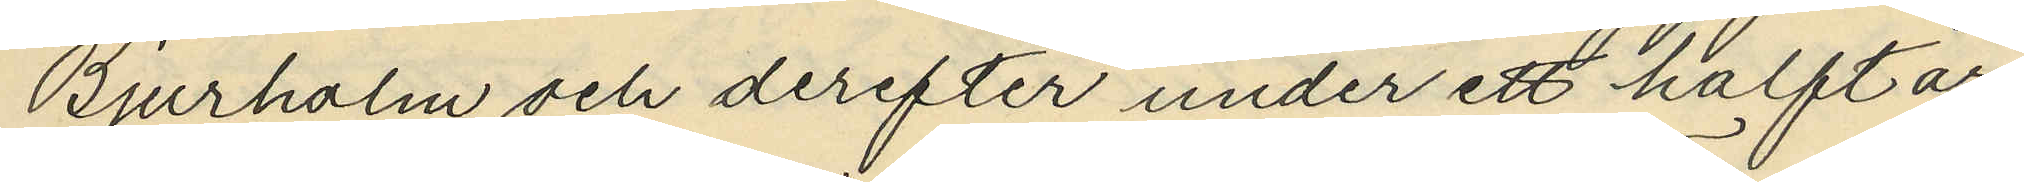Bjurholm och derefter under ett halft år
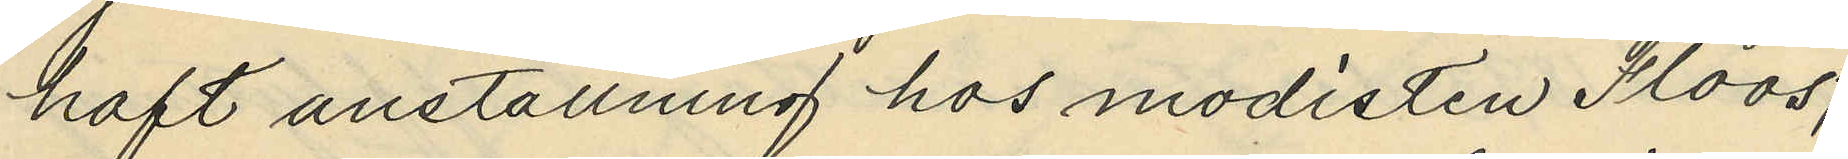haft anställning hos modisten Floos,
